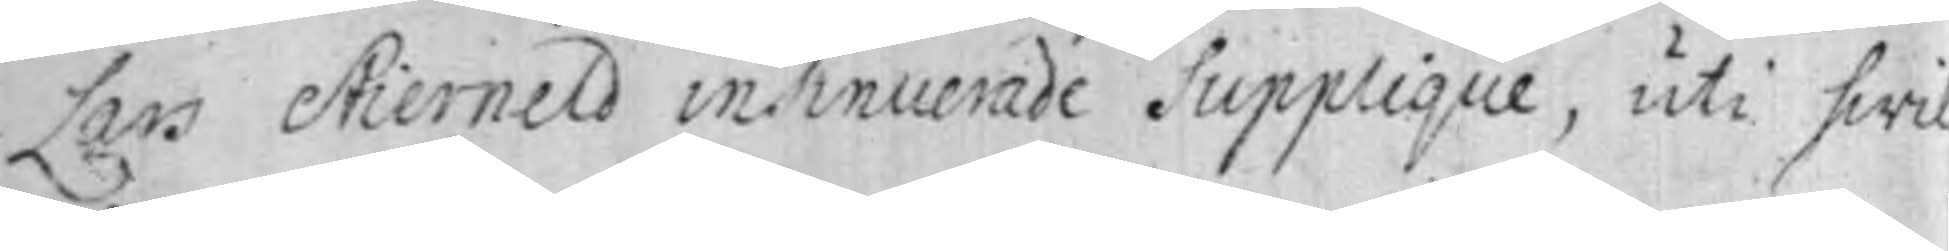Lars Stierneld insinuerade Supplique, uti hwil-
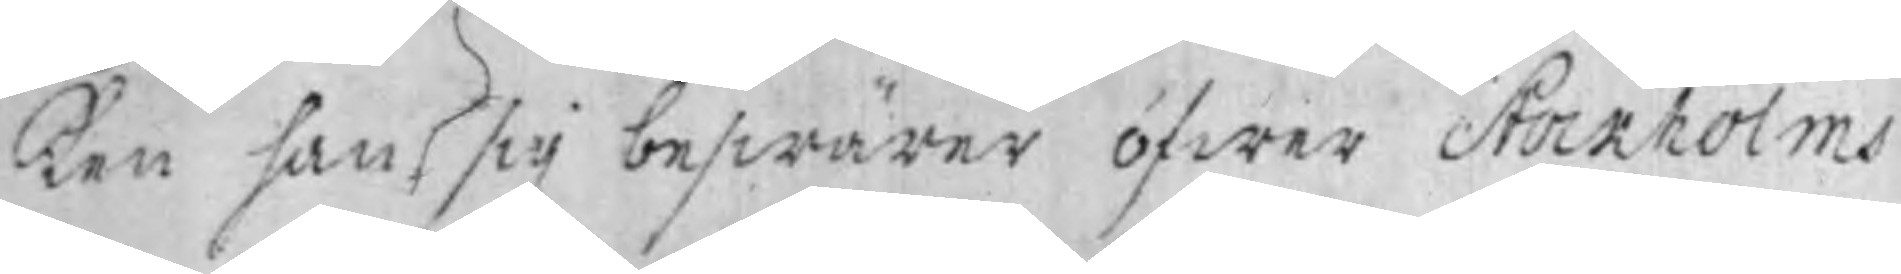ken han sig beswärar öfwer Stockholms
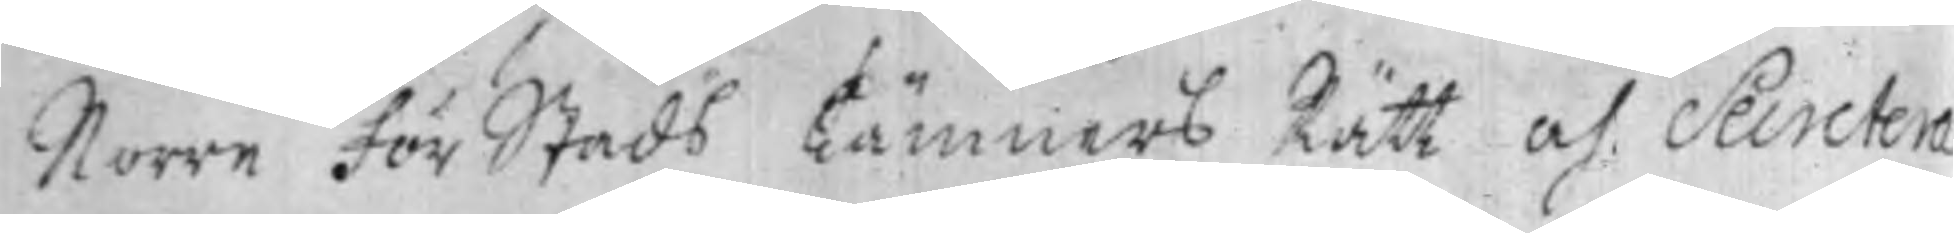Norre För Stads Kämners Rätt och Secretera¬
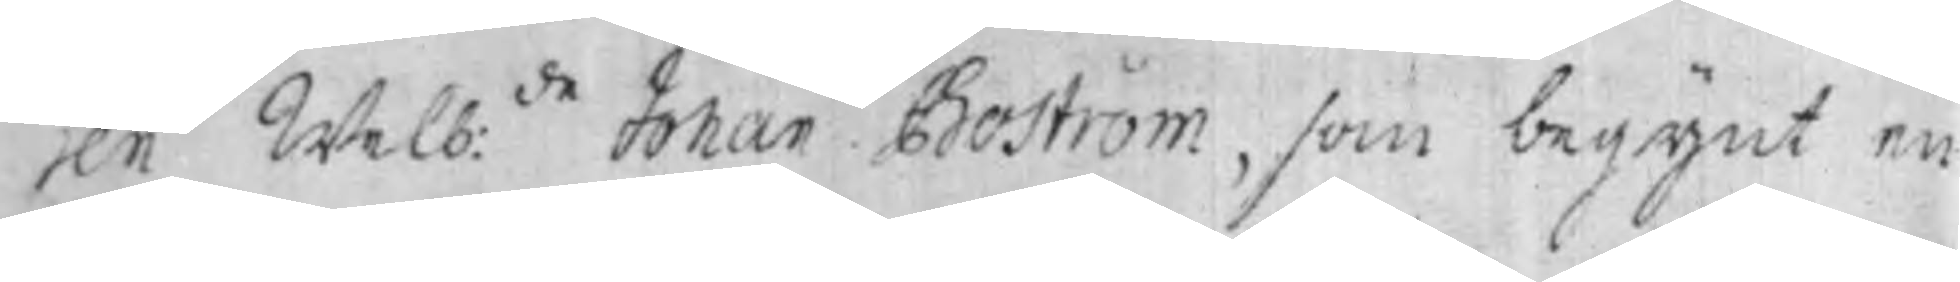ren Welb:de Johan Boström, som begynt en
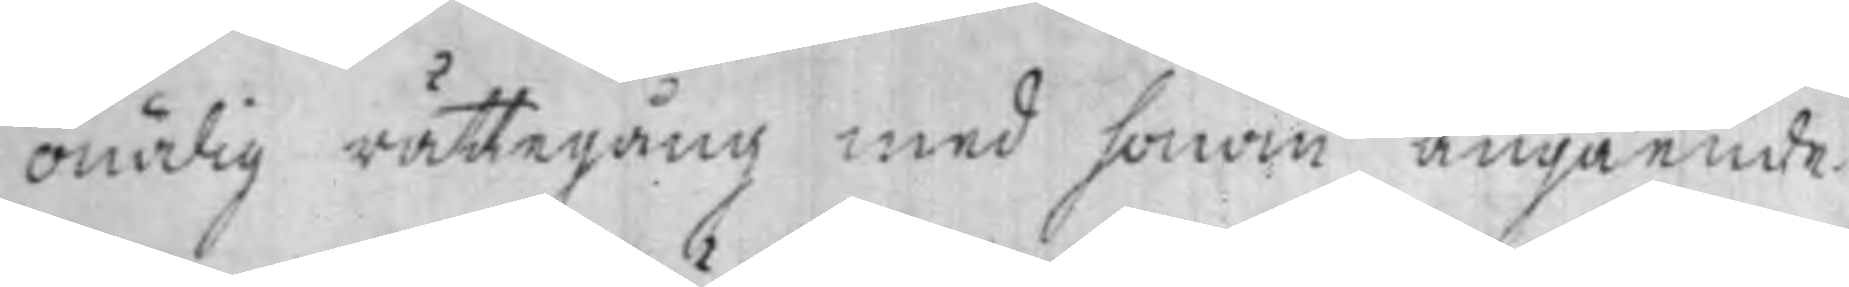onödig rättegång med honom angående
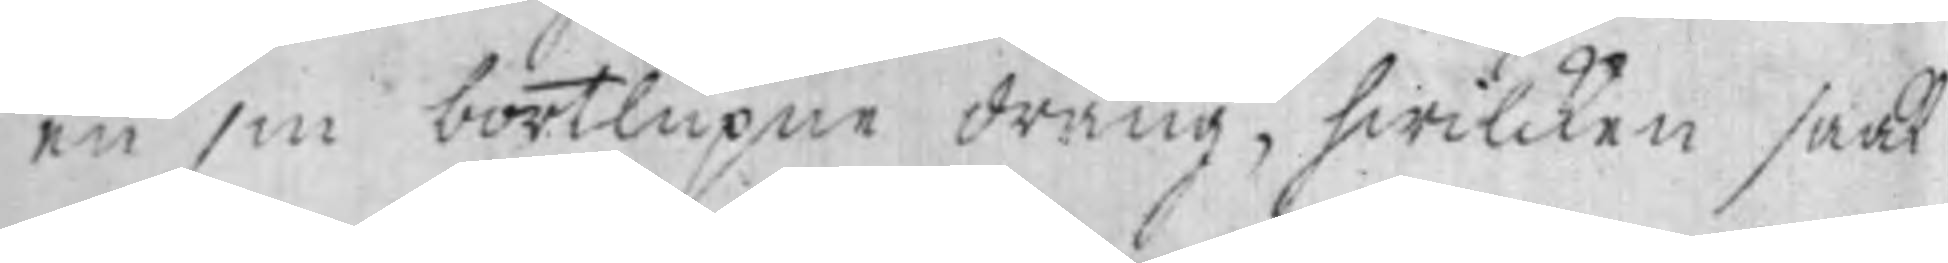en sin bortlupne dräng, hwilcken saak
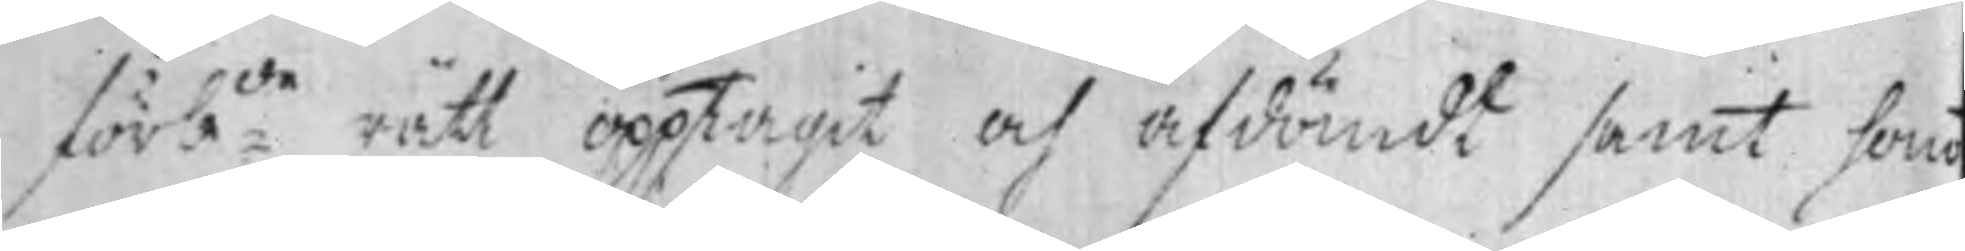förb:de rätt opptagit och afdömdt samt honom
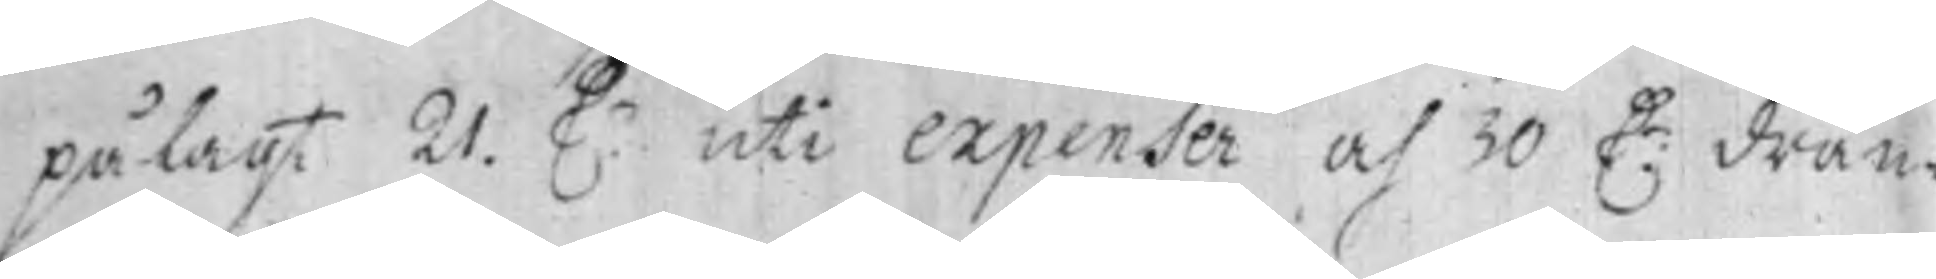pålagt 21 D.r uti expenser och 30 D:r drän¬
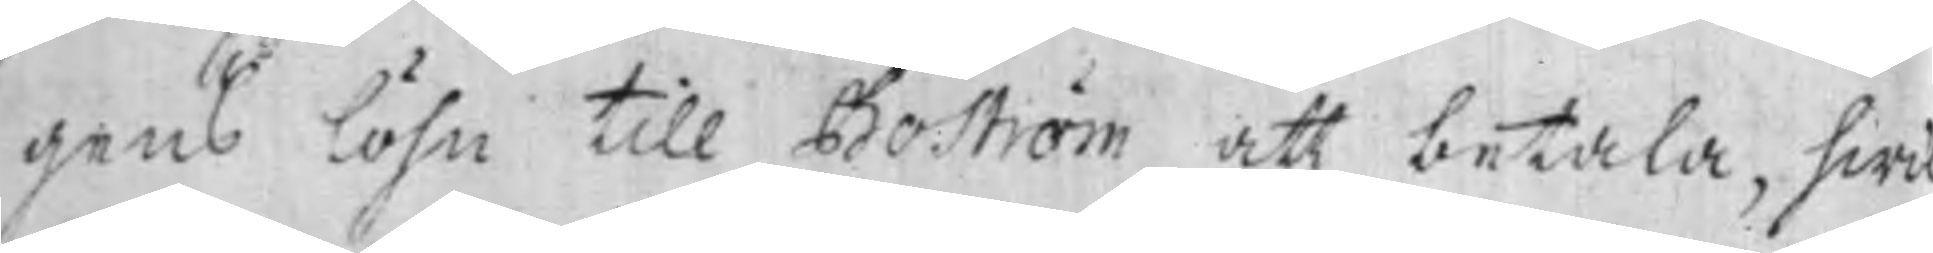gens löhn till Boström att betala, hwil¬
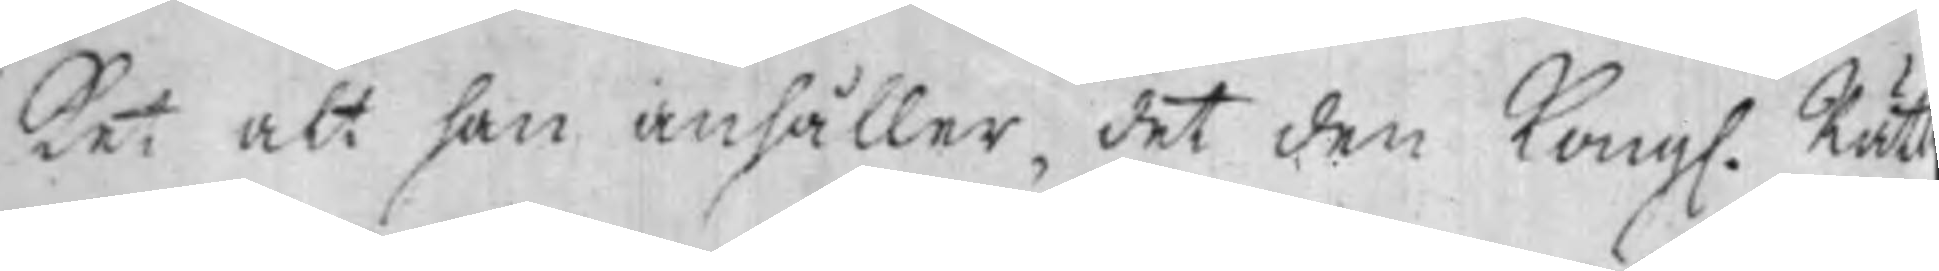ket alt han anhåller, det den Kong. Rätt
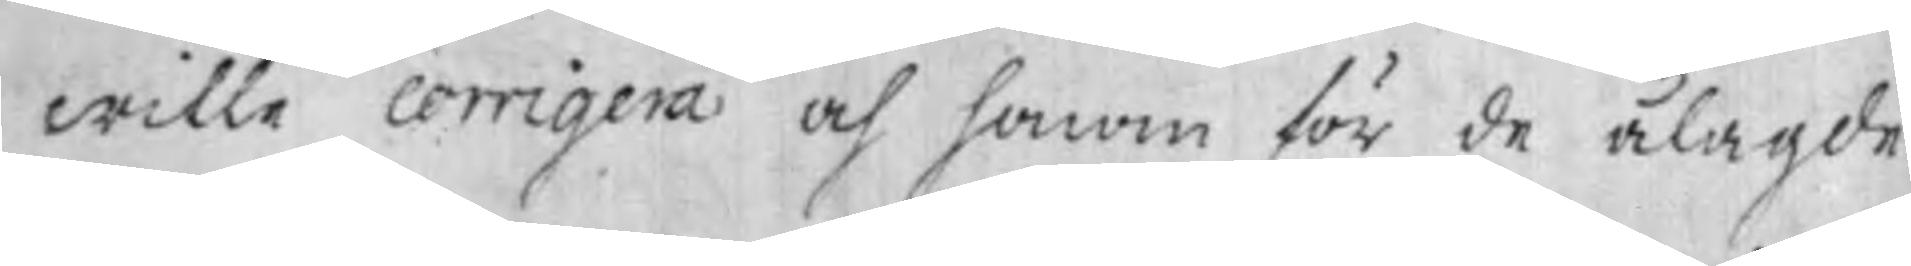wille corrigera och honom för de ålagde
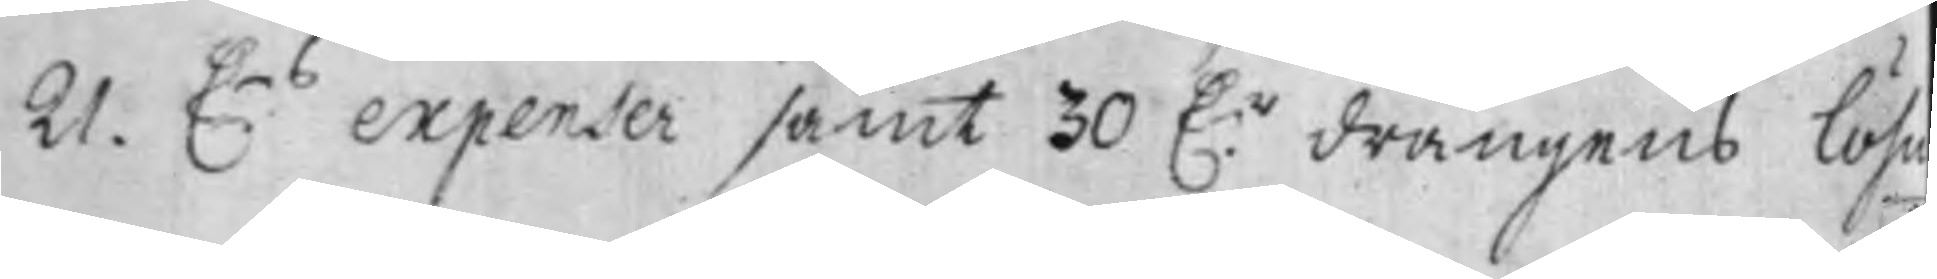21. D.rs exprenser samt 30 D:r drängens löhn
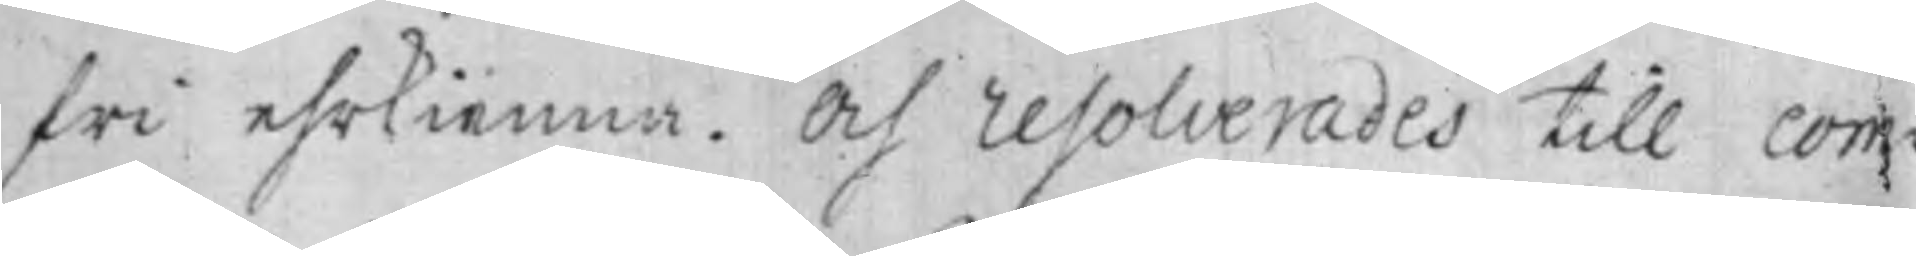fri ehrkienna. Och resolverades till com¬
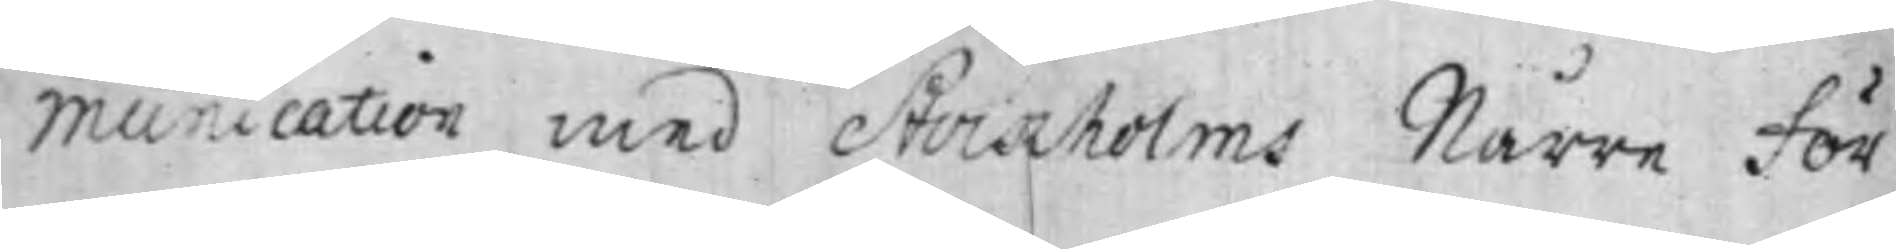munication med Stockholms Nårre För¬
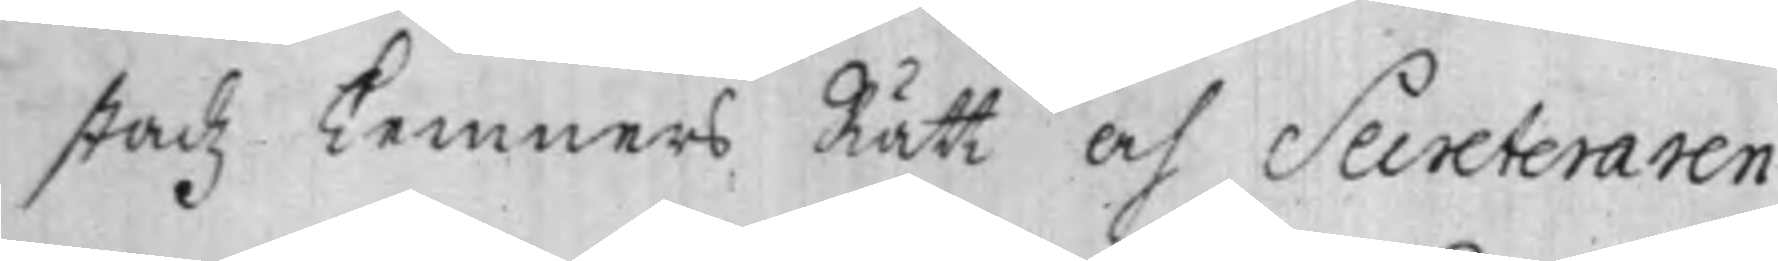stadz Kemners Rätt och Secreteraren
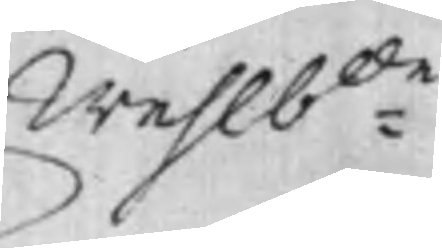Wehlb:de
